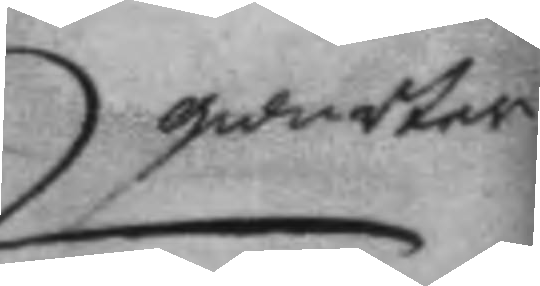qwarter
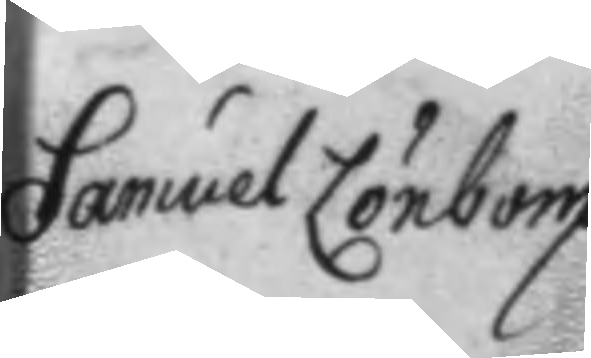Samuel Lönbom.
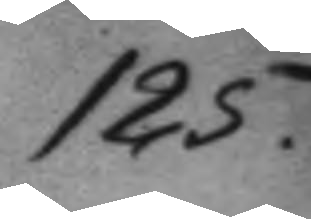125.
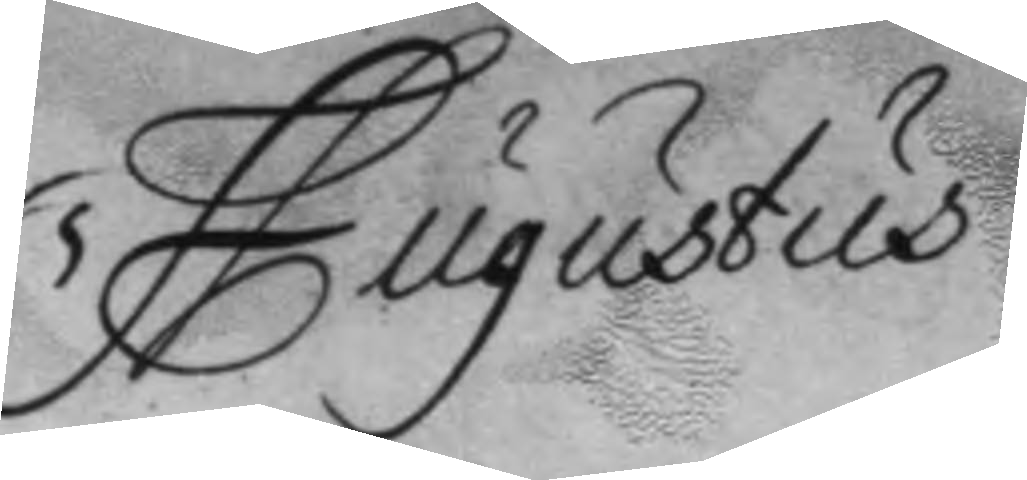Augustus
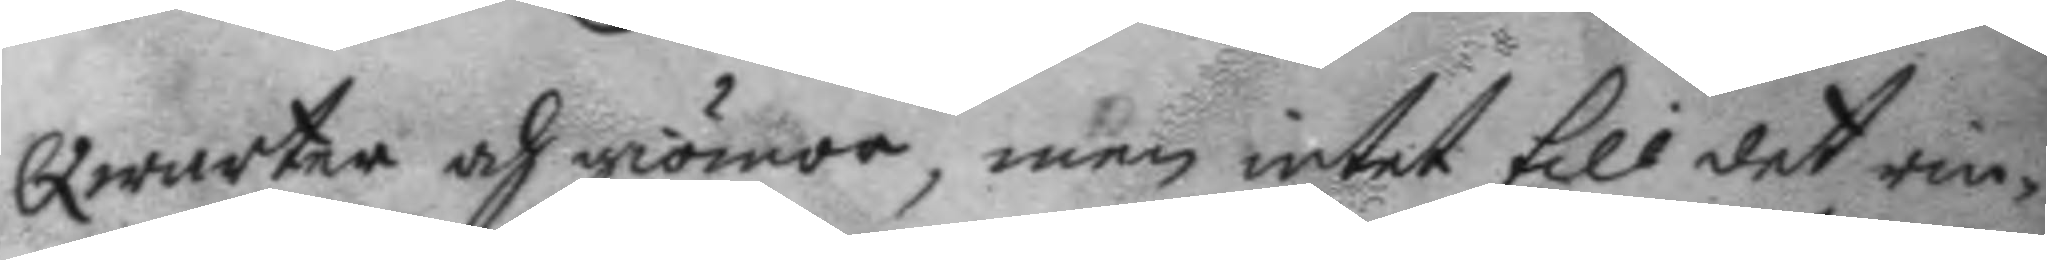Qwarter och giömor, men intet till det rin¬
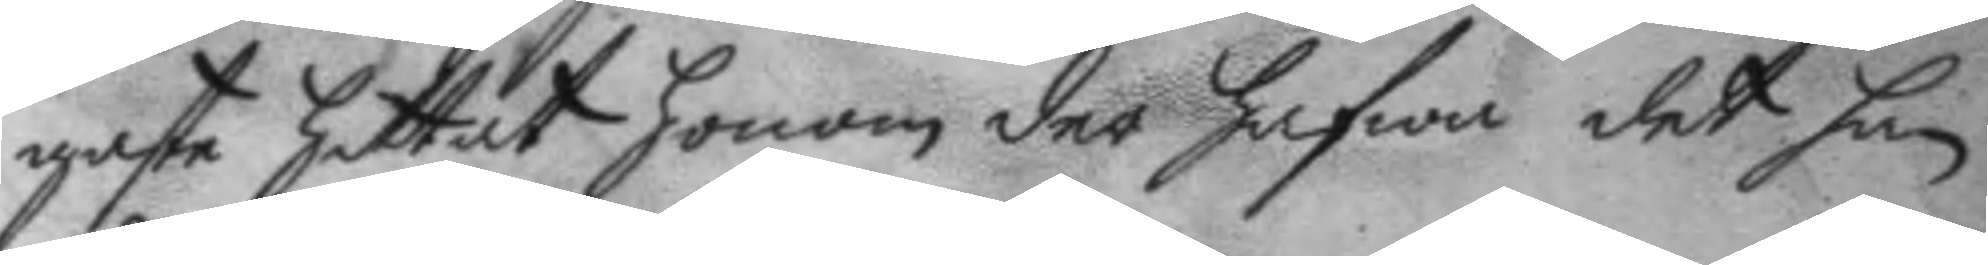gaste hittat honom der hafwa det han
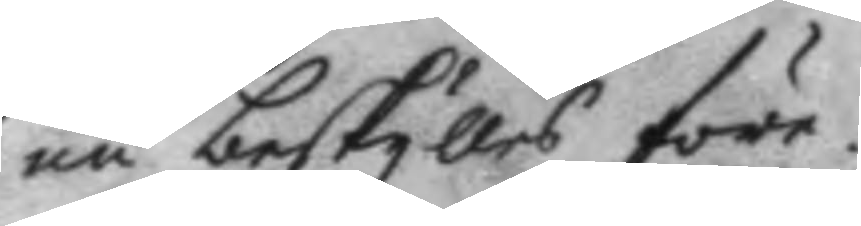nu beskylles före.
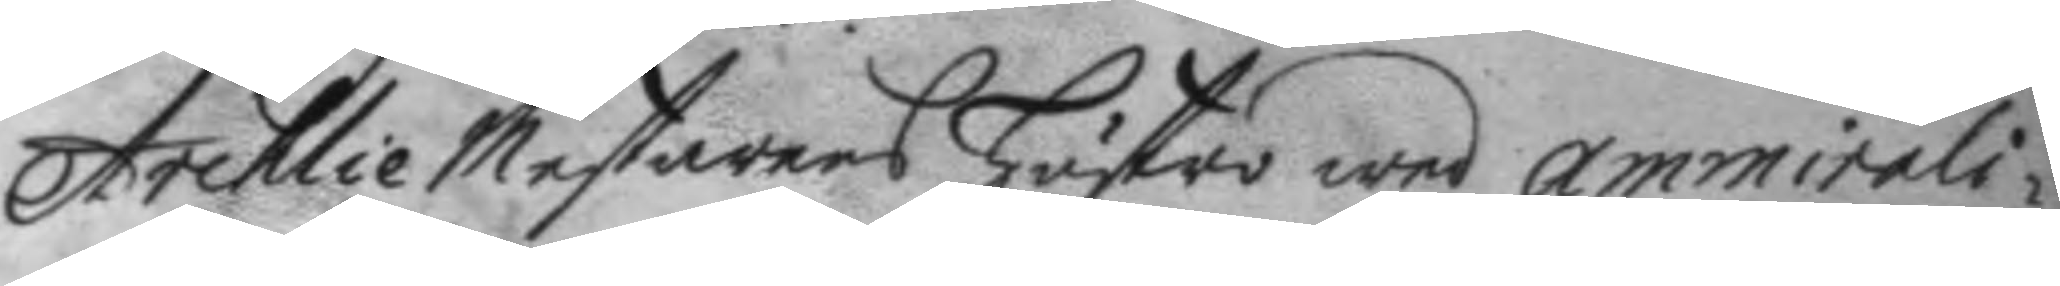Archlie Mestarens hustro wed amminali¬
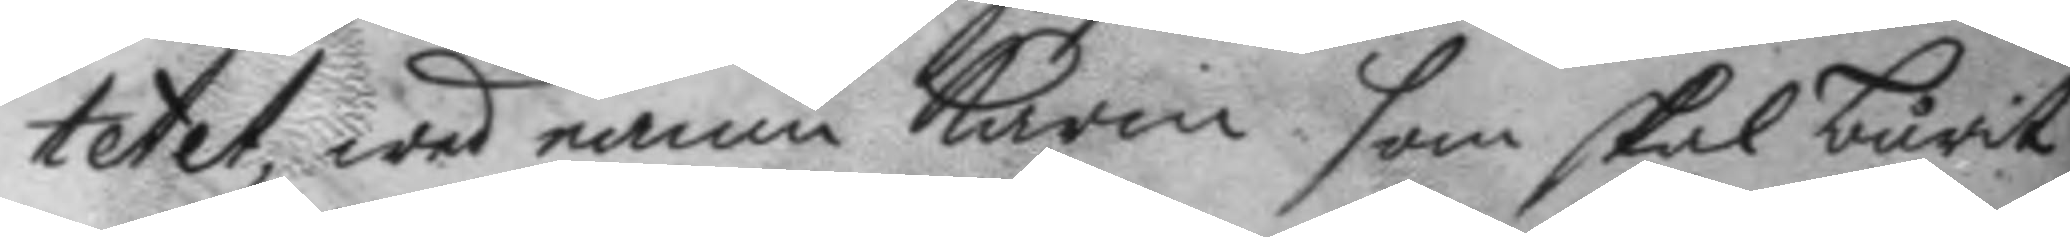tetet, wed namn Karin som skal burit
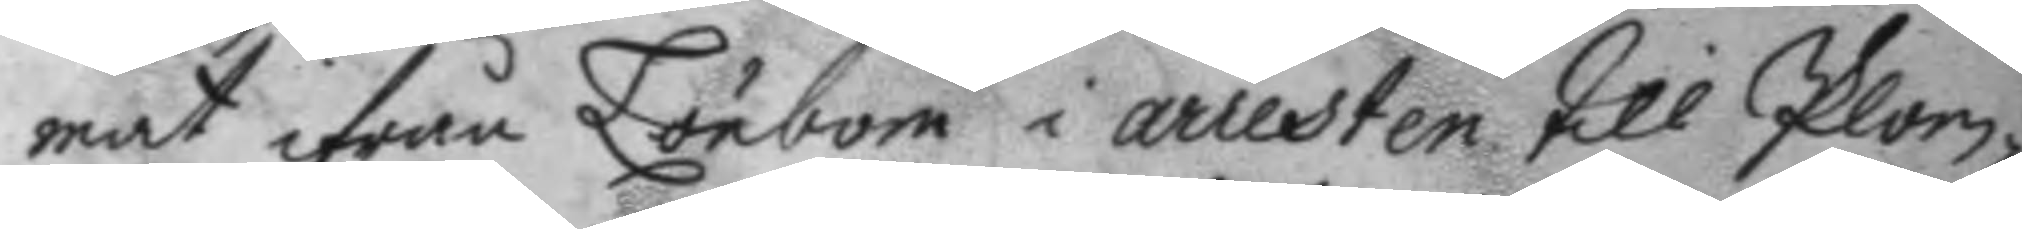mat ifrån Lönbom i arresten till Plom¬
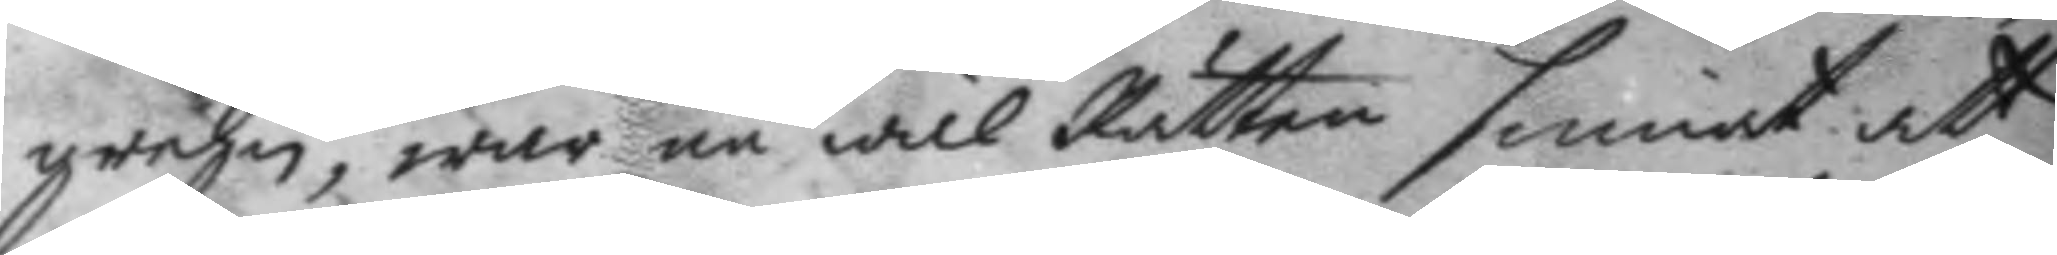grehn, war nu wäl Rätten sinnat att
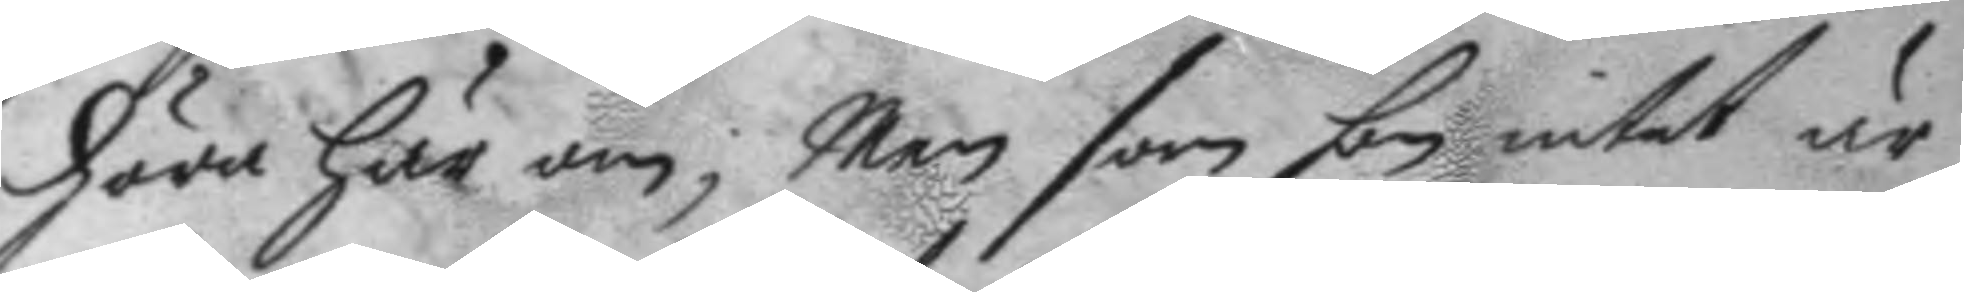höra här om; Men som hon intet är
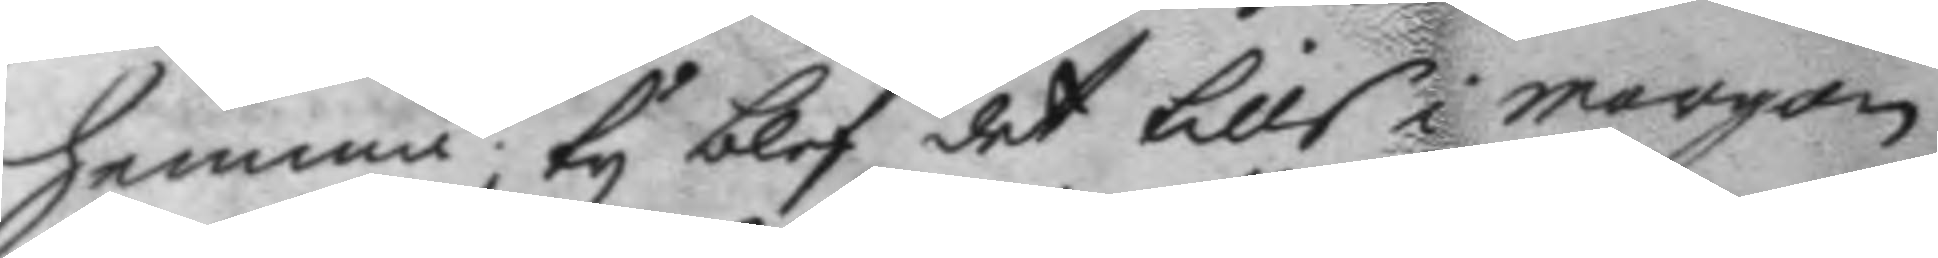hemma; ty blef det tills i morgon.
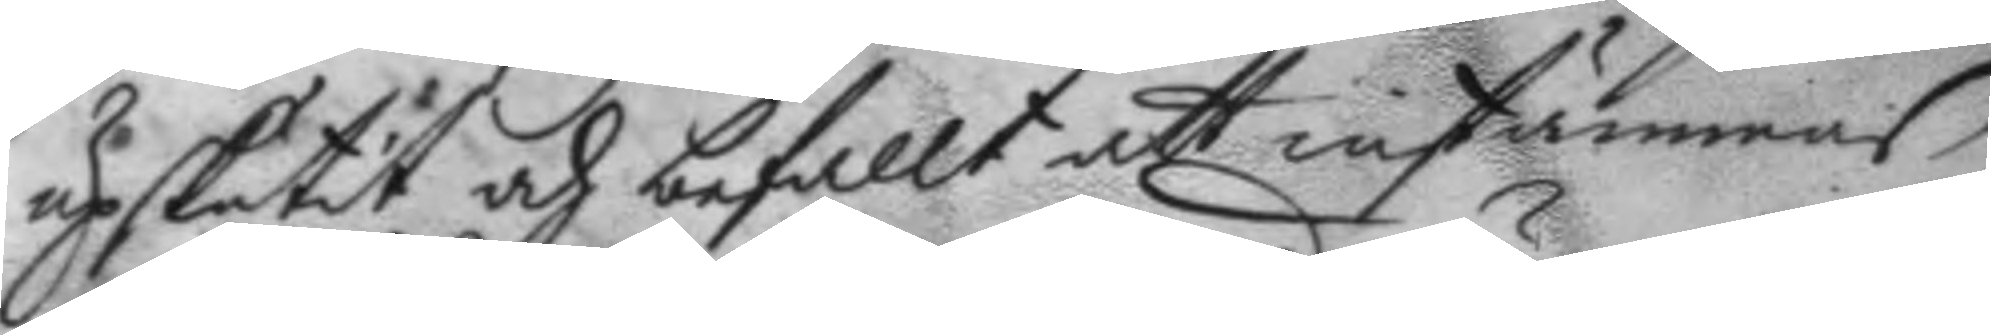upskutit och befallt att instämmas,
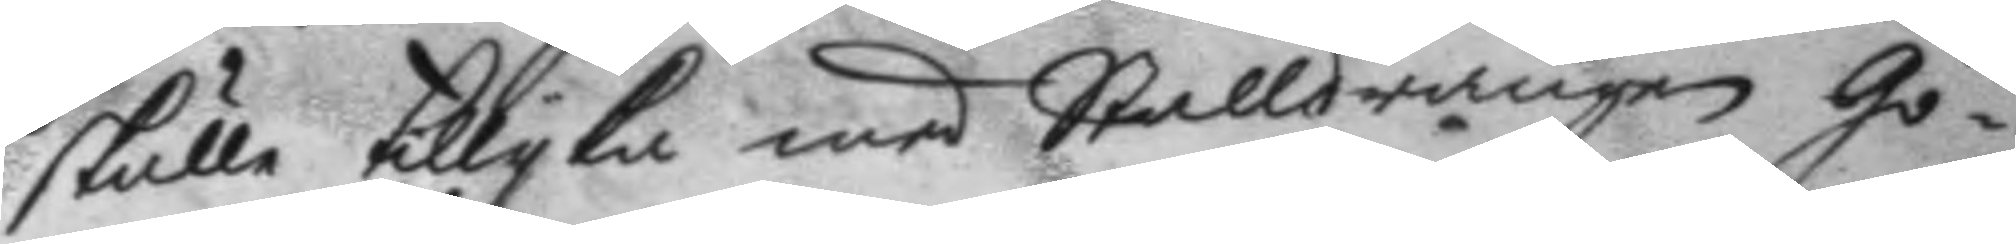skulle tillyka med Stalldrängen Gö¬
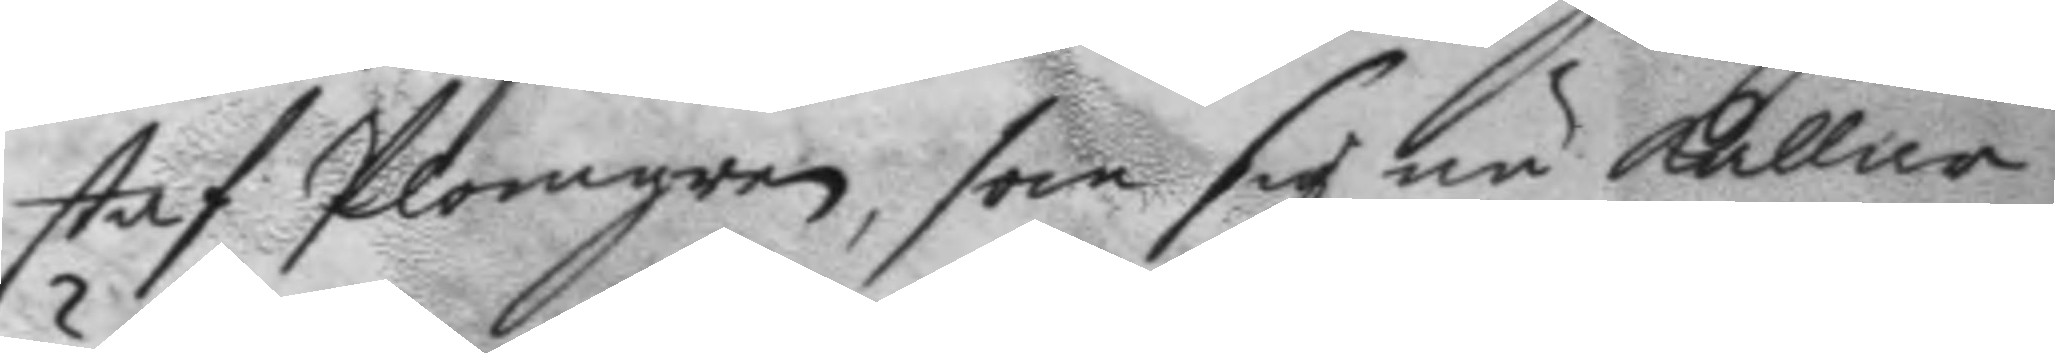staf Plomgren, som sig nu kallar
